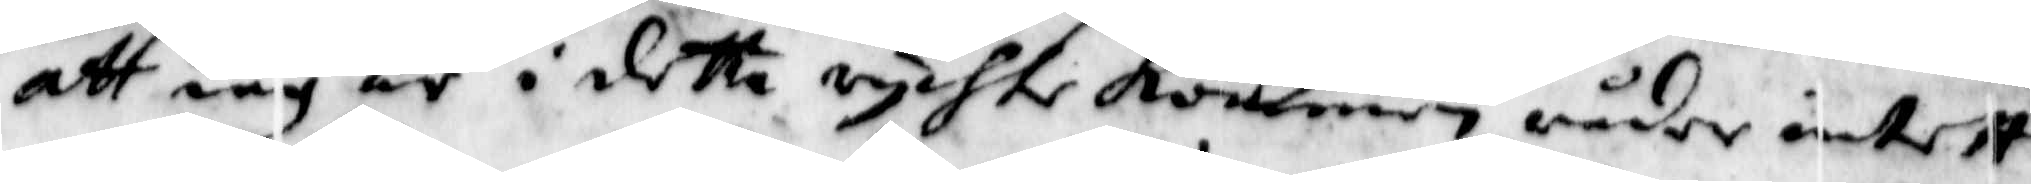att iag är i detta rychte kommen råder intett
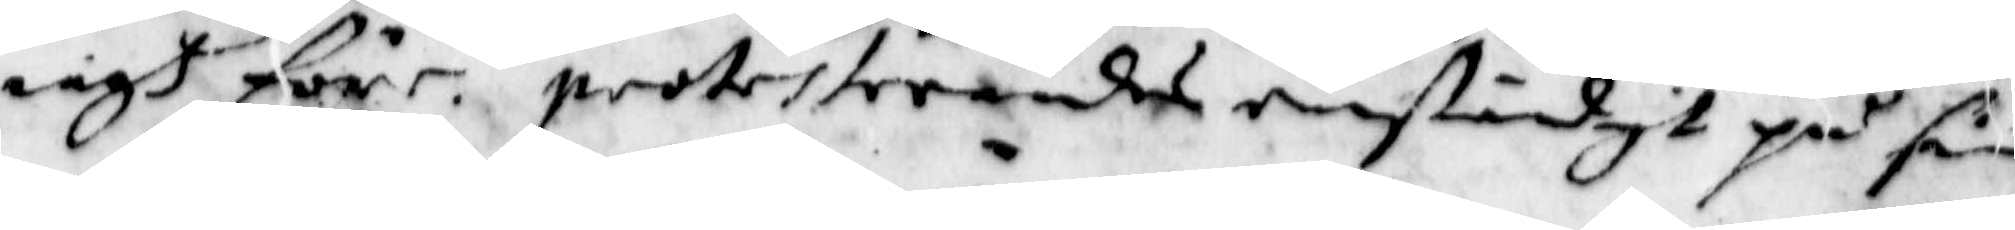iagh före. protesterandes enständigt på sin
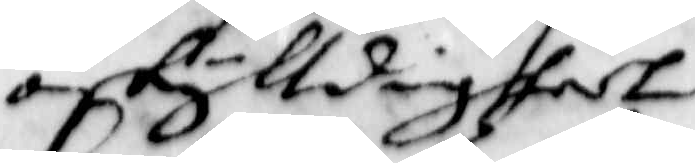oskylldighedt.
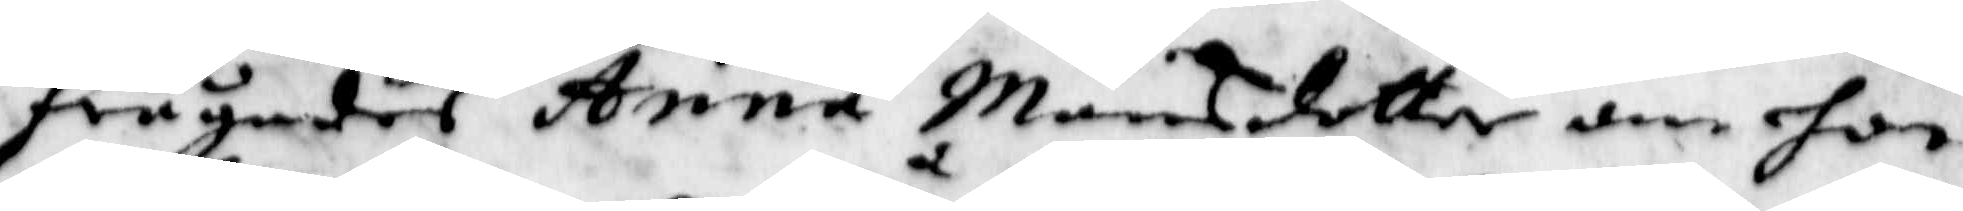frågades Anna Månsdotter om hon
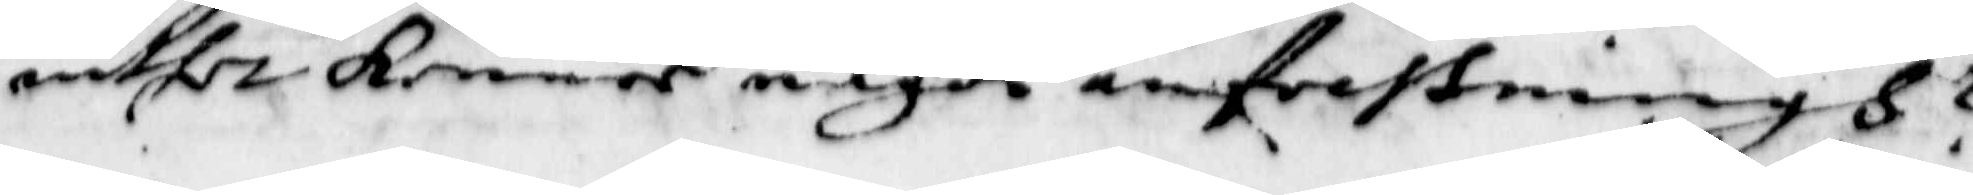intet kenner någon anfechtningh?
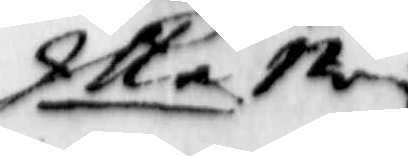Illa Ney
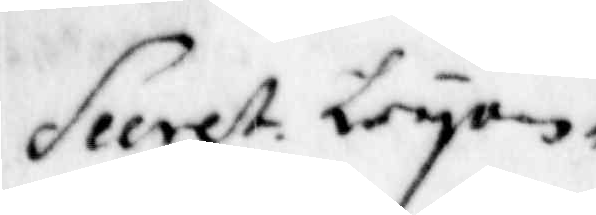Secret. Leyon¬
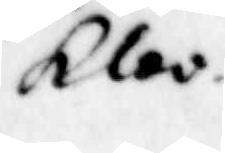Kloo
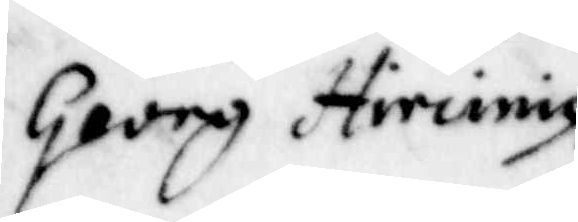Georg Hircinig.
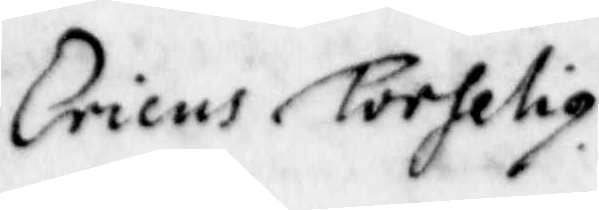Ericus Torhelig
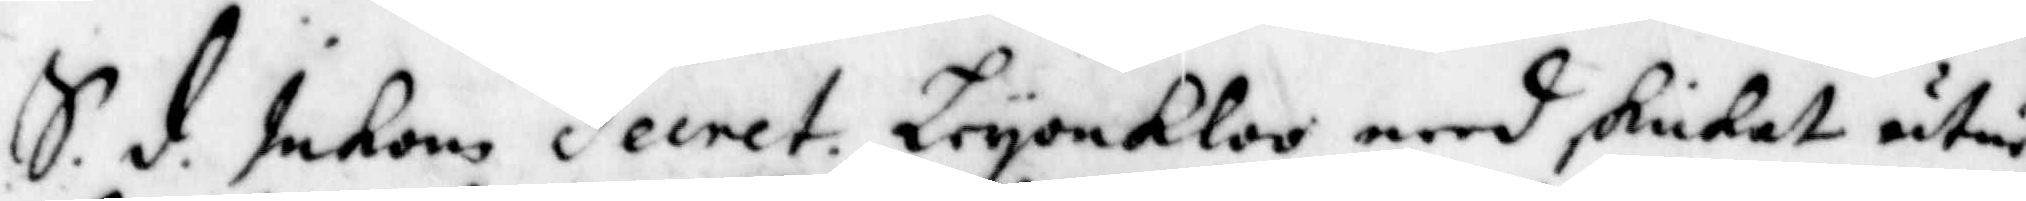S.d: Inkom Secret: LeyonKloo med skikat utur
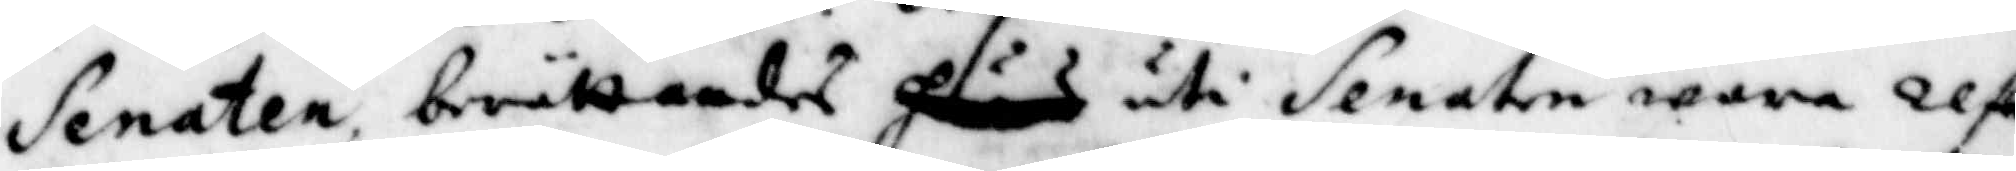Senaten berättandes huad uti Senaten wara refe¬
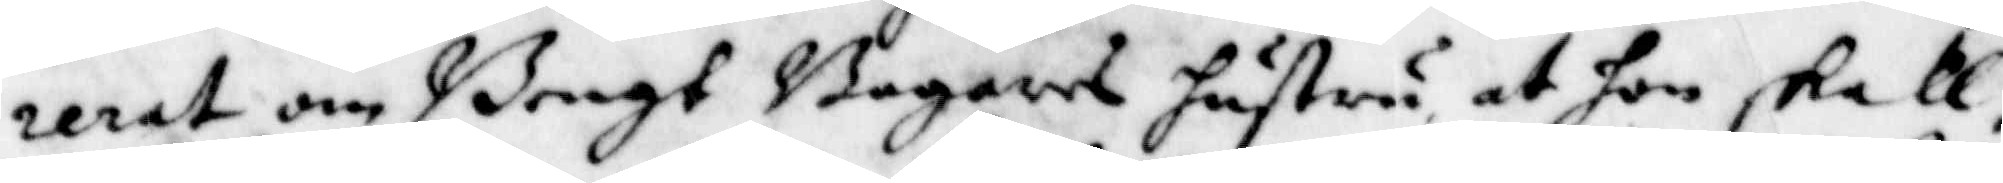rerat om Bengt Bagares hustru, at hon skall
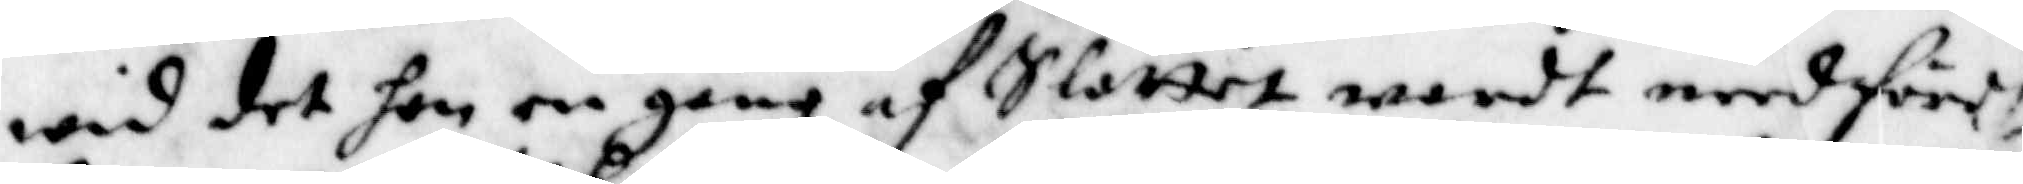wid det hon en gång af Slottet wardt needförd
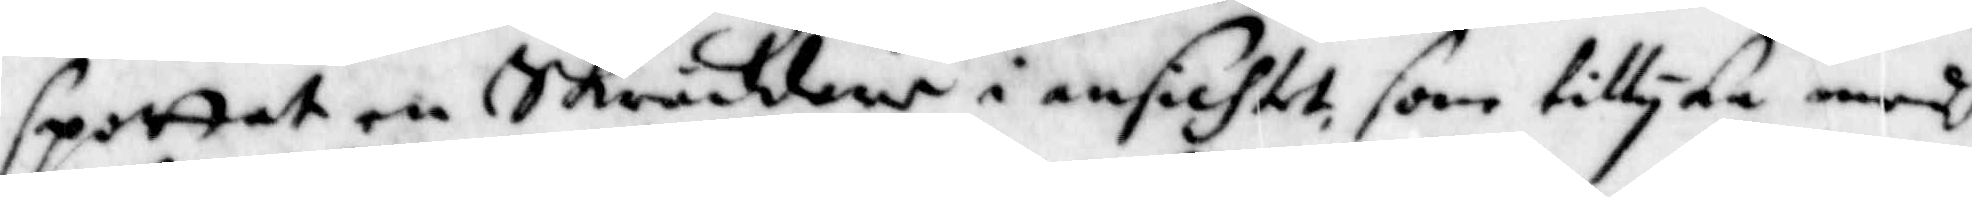spottat en Skräddare i ansichtet, som tillyka medh
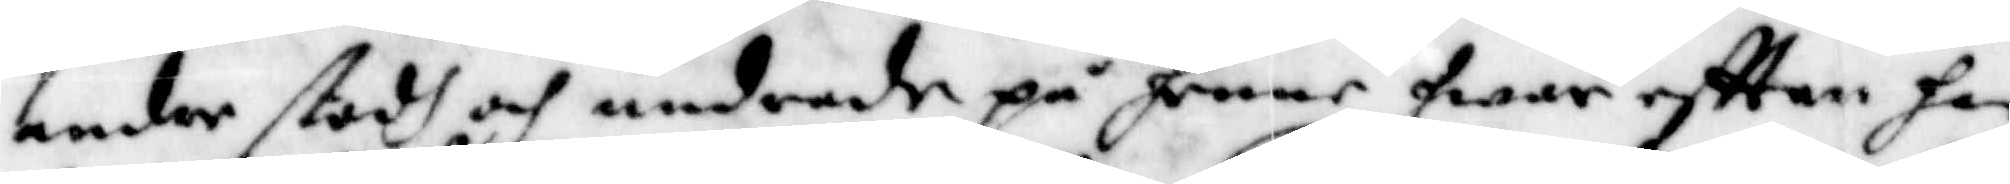andre stodh och undrade på henne, hwar eftter han
